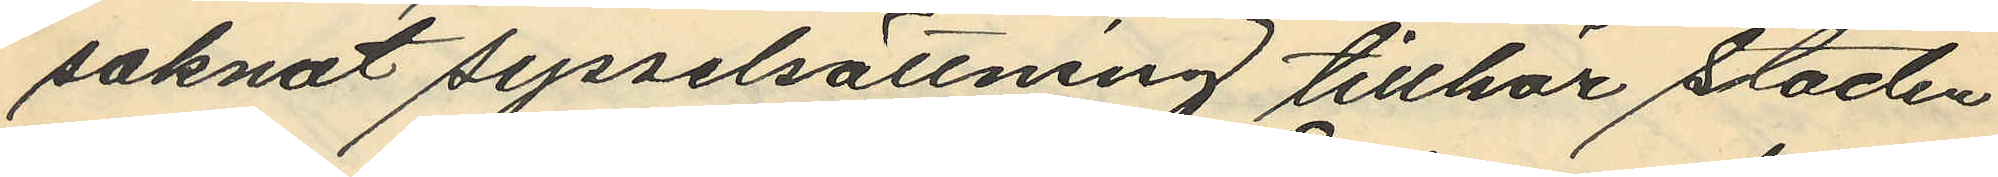saknat sysselsättning tillhör staden
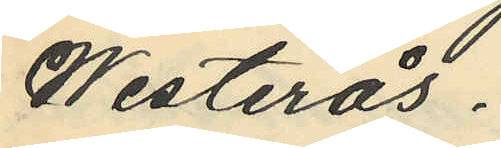Westerås.
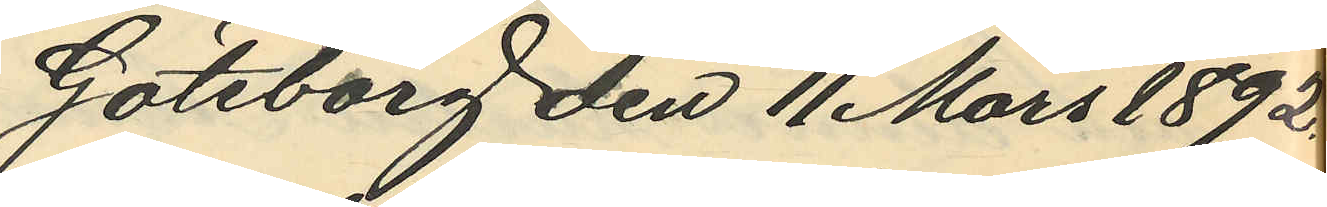Göteborg den 11 Mars 1892.
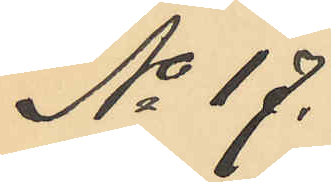No 17.
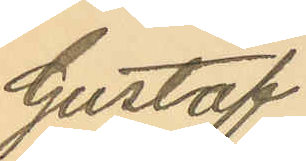Gustaf
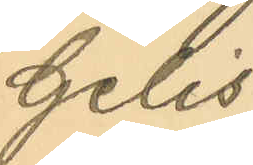Gelis
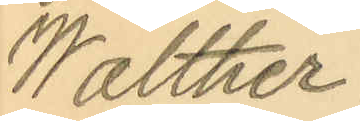Walther.
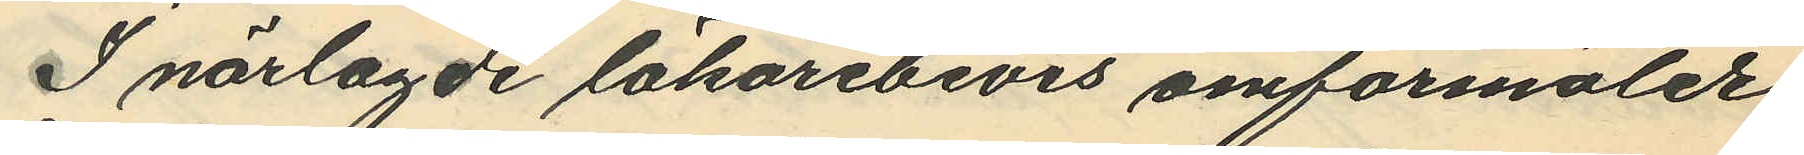I närlagde läkarebevis omförmäler
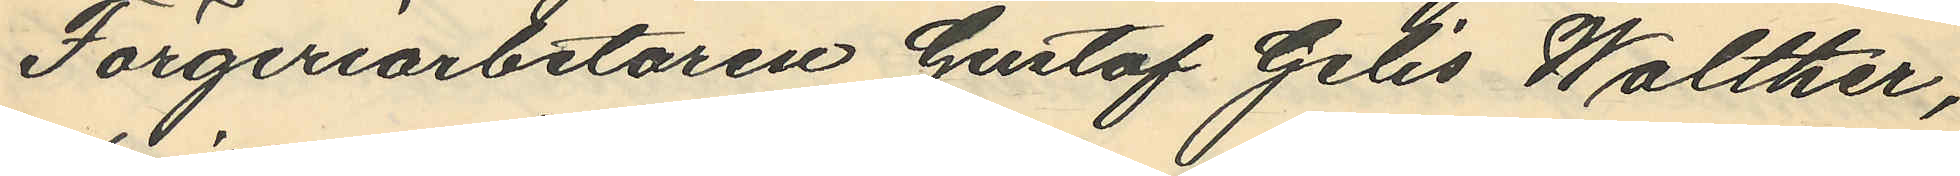Färgeriarbetaren Gustaf Gelis Walther,
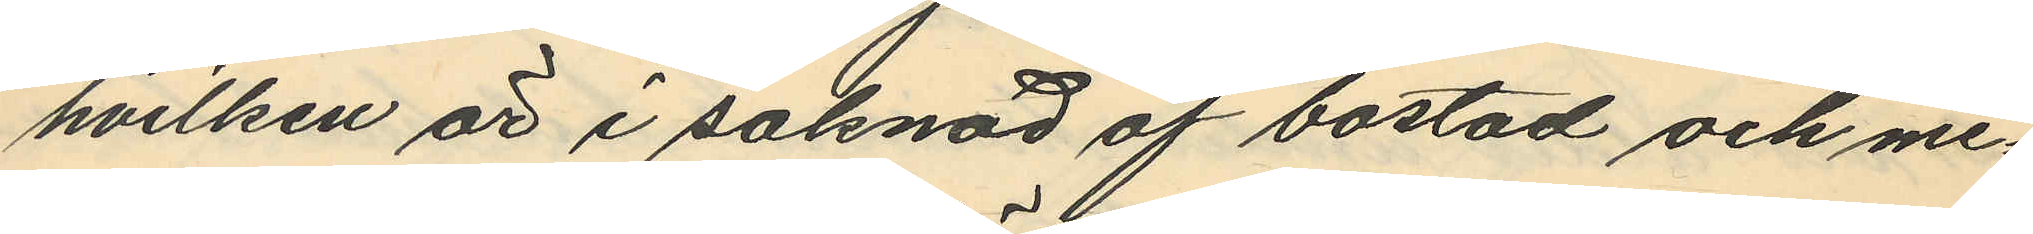hvilken är i saknad af bostad och me¬
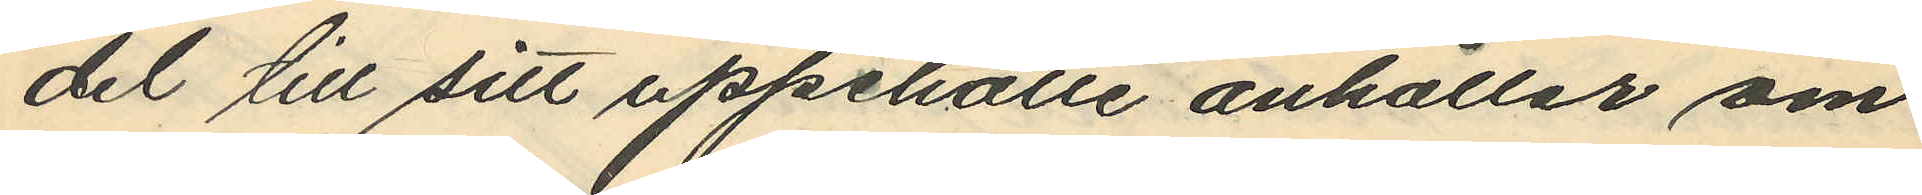del till sitt uppehälle anhåller om
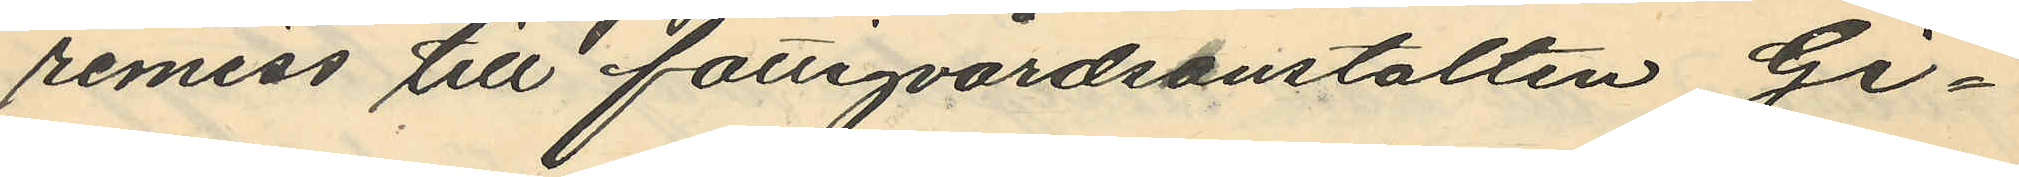remiss till fattigvårdsanstalten Gi¬
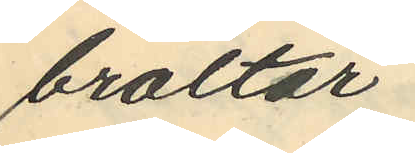braltar.
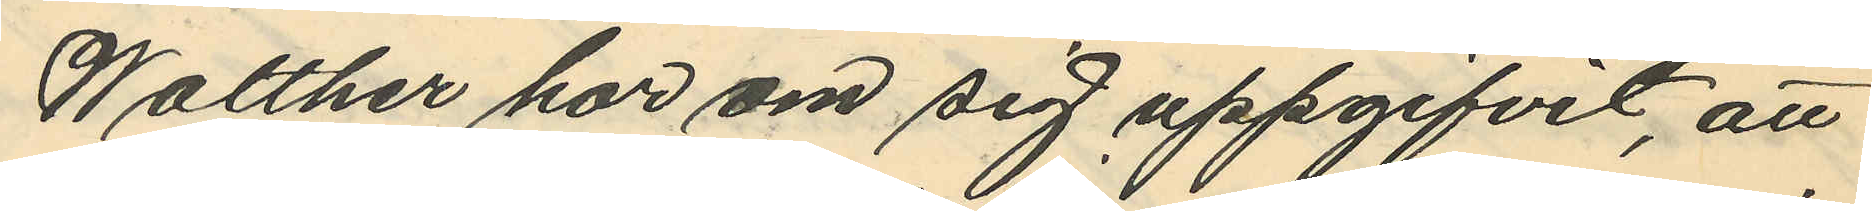Walther har om sig uppgifvit, att
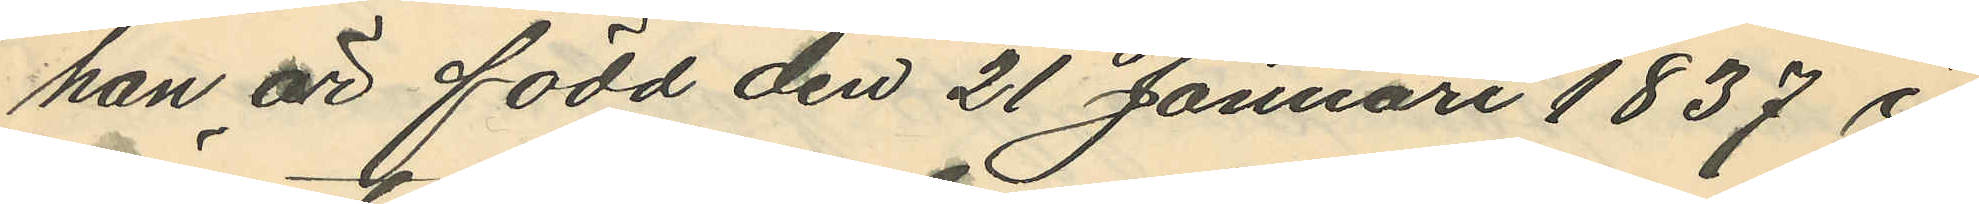han är född den 21 Januari 1837
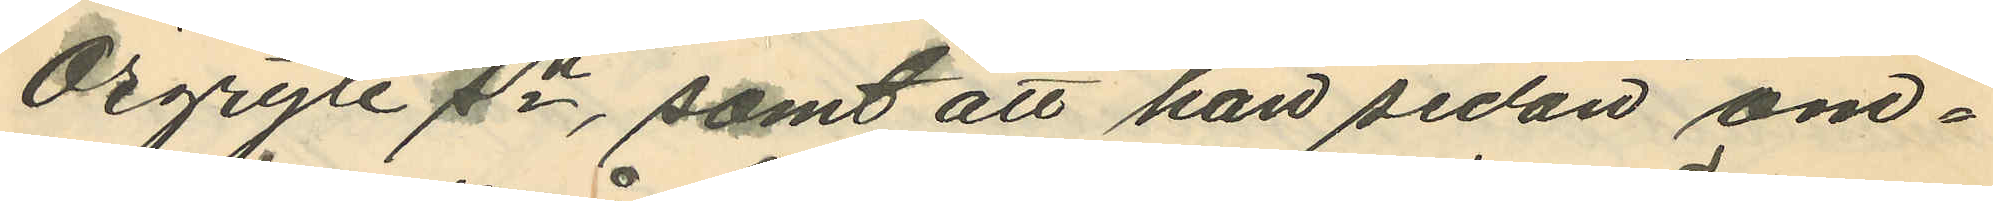Örgryte sn, samt att han sedan om¬
